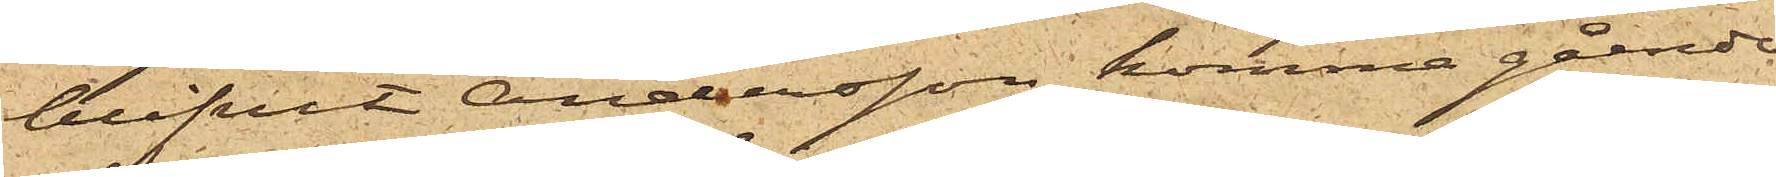blifvit Andersson komma gående
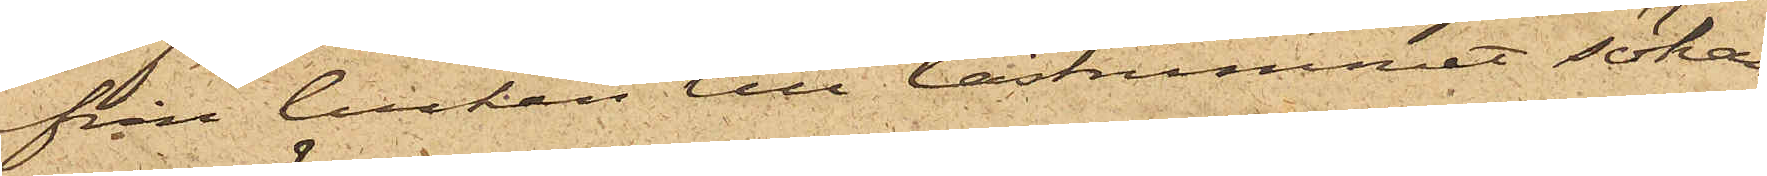från luckan till lastrummet sökan¬
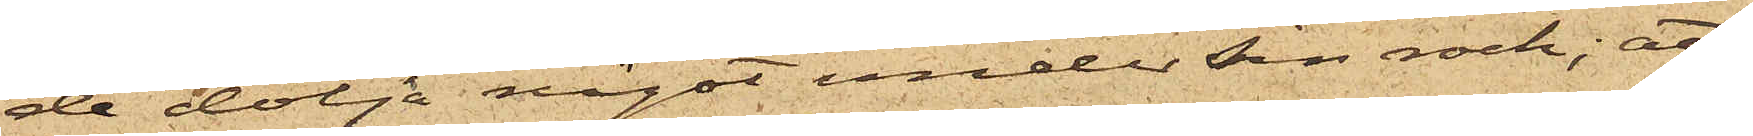de dölja något under sin rock; att
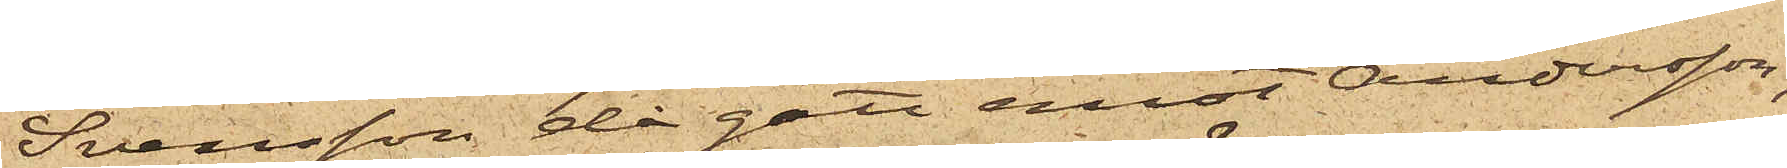Svensson då gått emot Andersson,
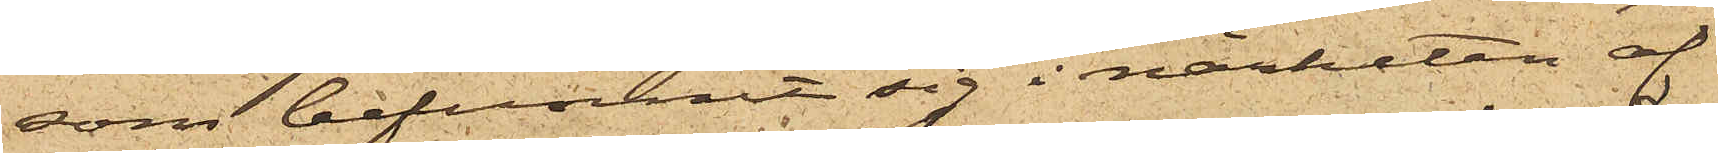som befunnit sig i närheten af
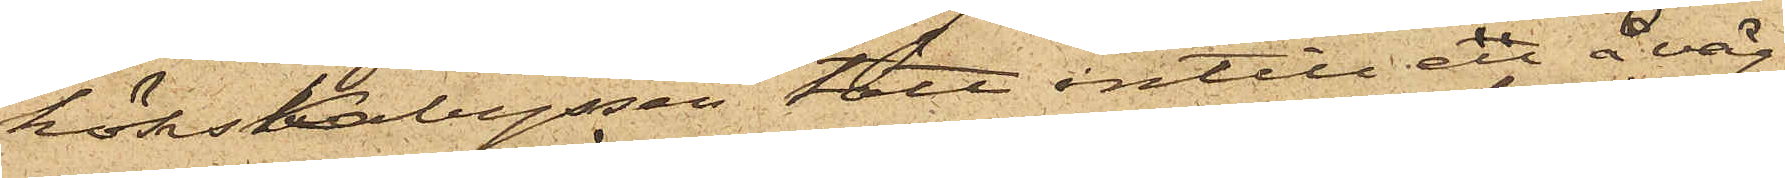köksKabyssen tätt intill en å väg¬
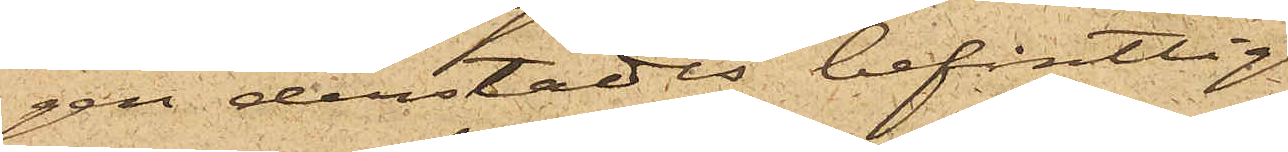gen derstädes befintlig
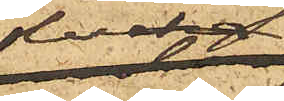lucka;
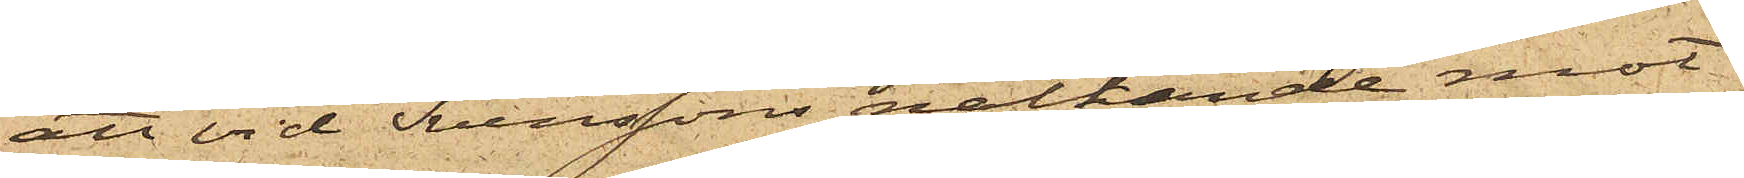att vid Svenssons nalkande mot
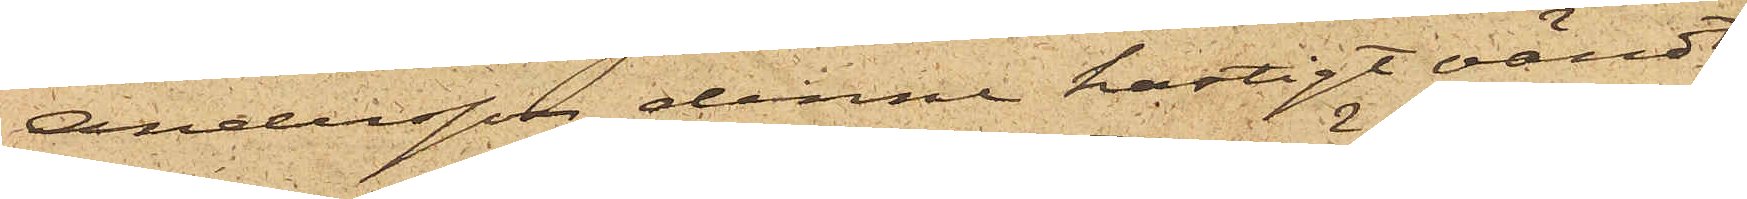Andersson, denne hastigt vändt
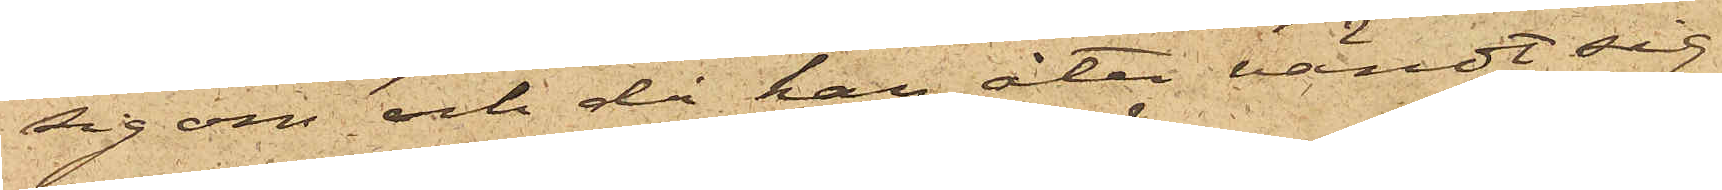sig om och då han åter vändt sig
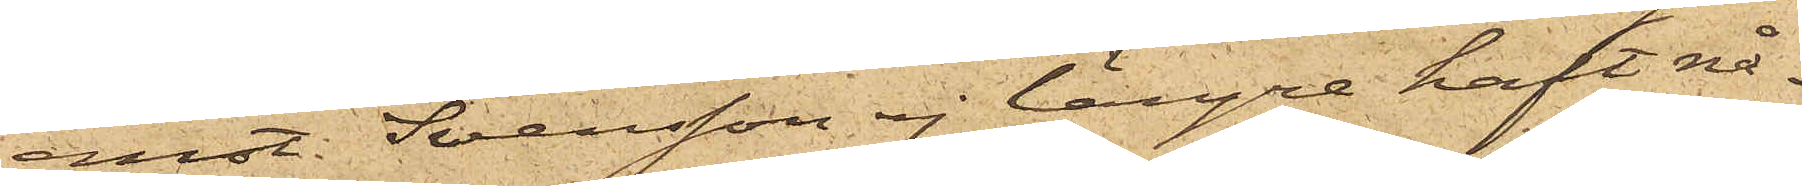emot Svensson ej längre haft nå¬
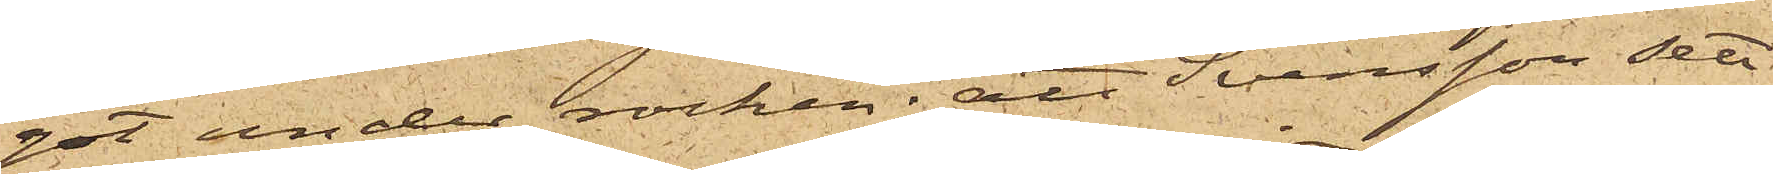got under rocken; att Svensson sett
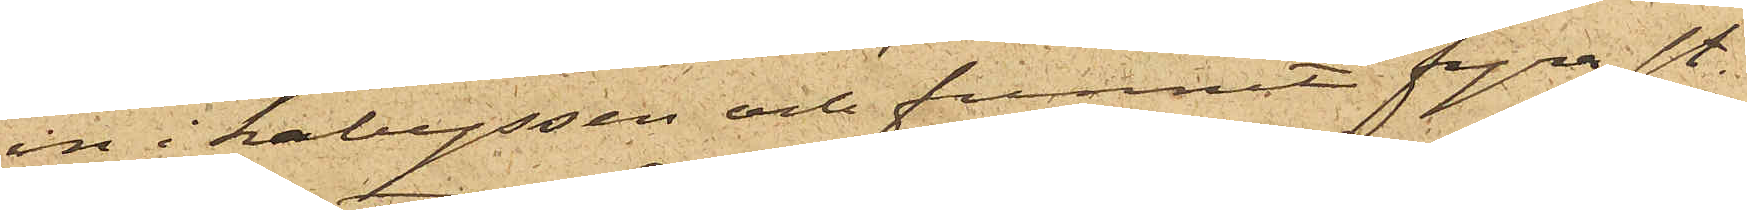in i kabyssen och funnit fyra st.
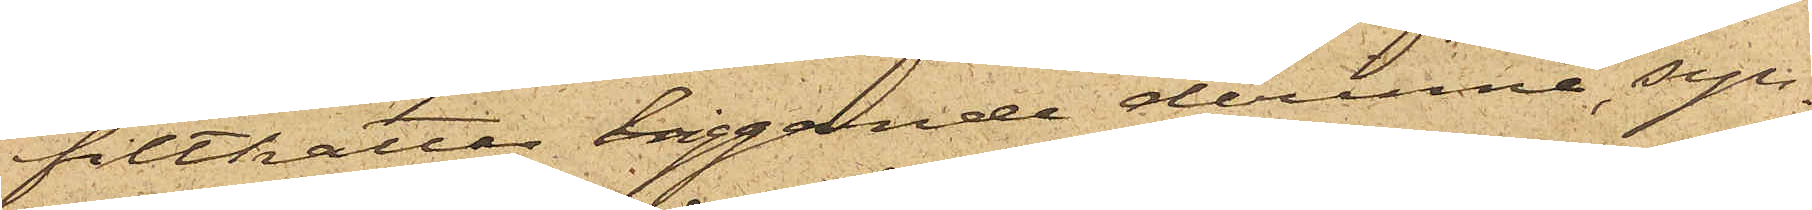filthattar liggande derinne, syn¬
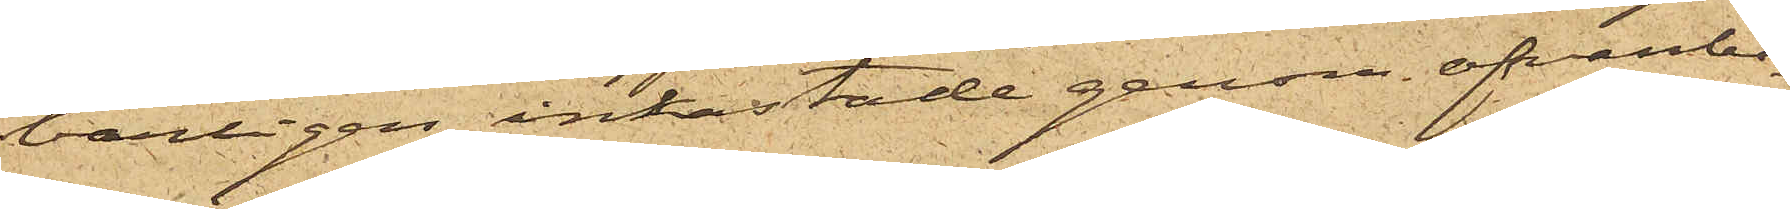barligen inkastade genom ofvanbe¬
